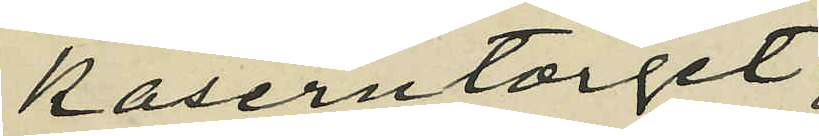Kaserntorget,
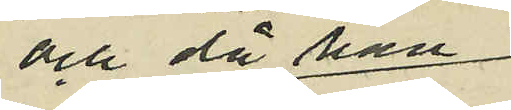och då han
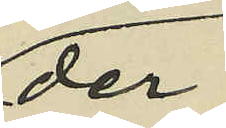der
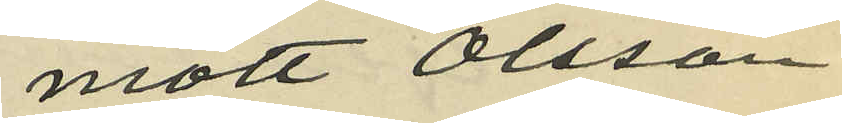mött Olsson
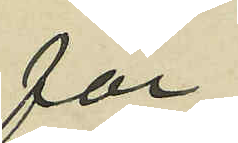för
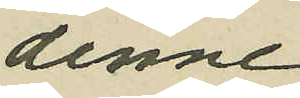denne
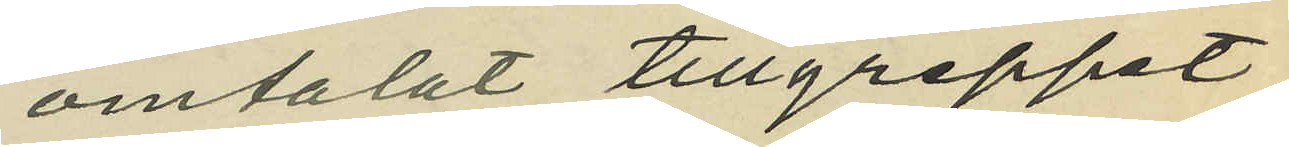omtalat tillgreppet;
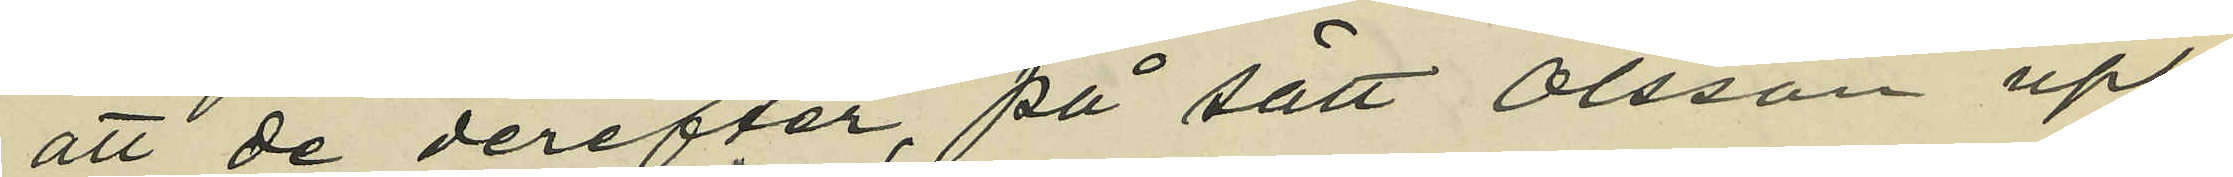att de derefter, på sätt Olsson upp¬
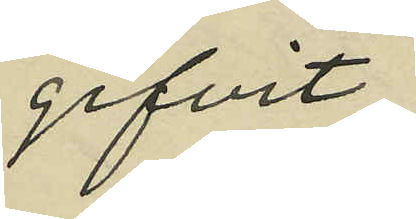gifvit,
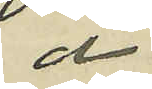å
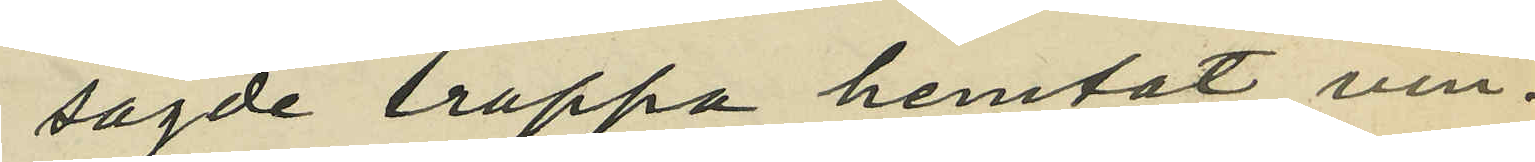sagde trappa hemtat vin¬
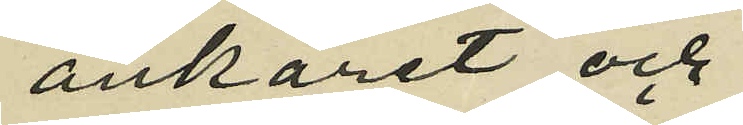ankaret och
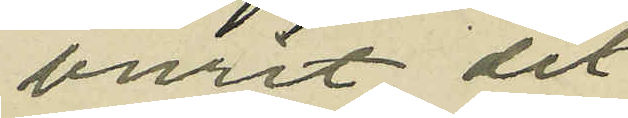burit det
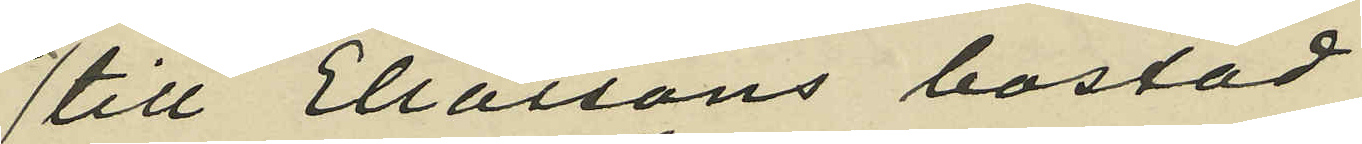till Eliassons bostad
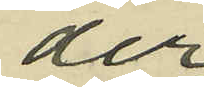der
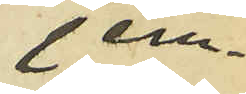jem¬
